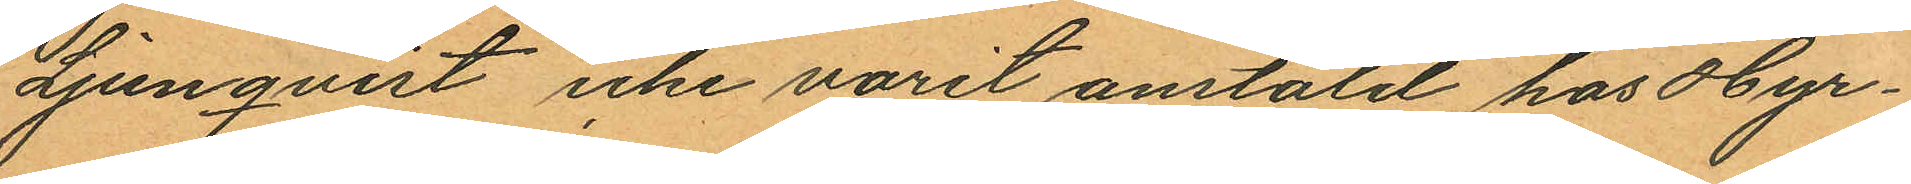Ljunqvist icke varit anstäld hos Hyr¬
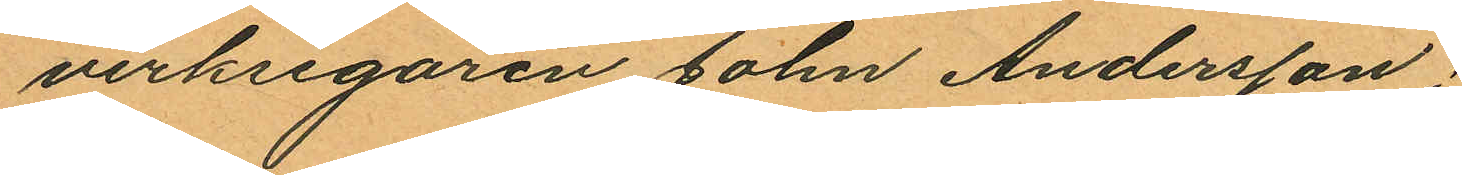verksegaren John Andersson;
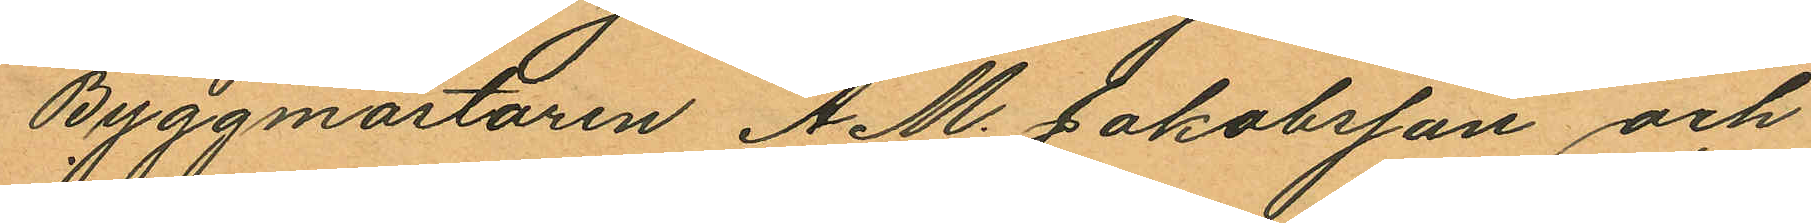Byggmästaren A. M. Jakobsson och
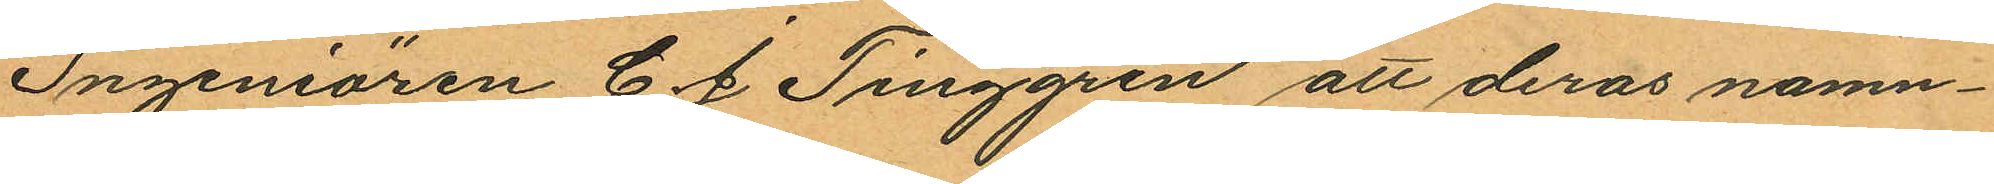Ingeniören C. J Tinggren att deras namn¬
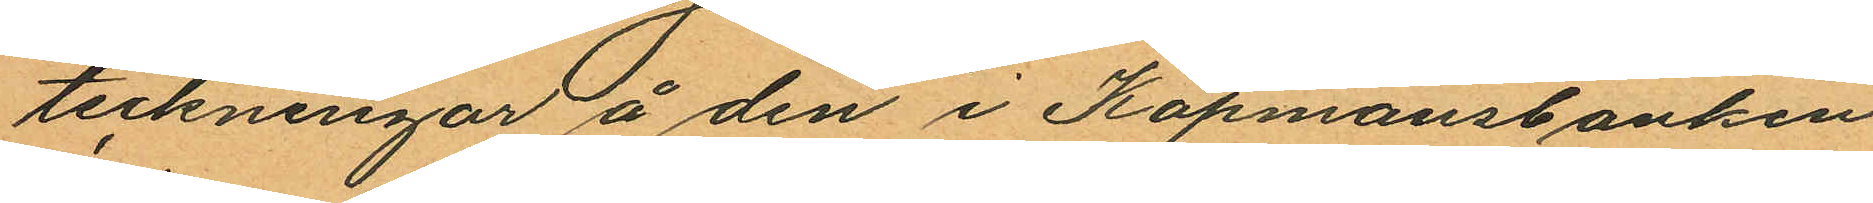teckningar å den i Köpmansbanken
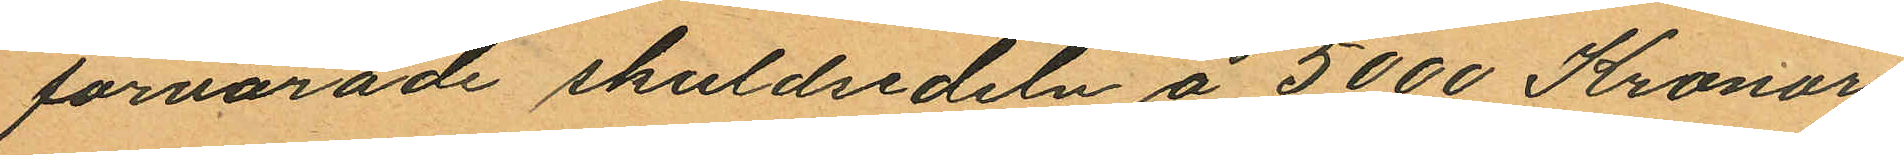förvarade skuldsedeln å 5000 Kronor
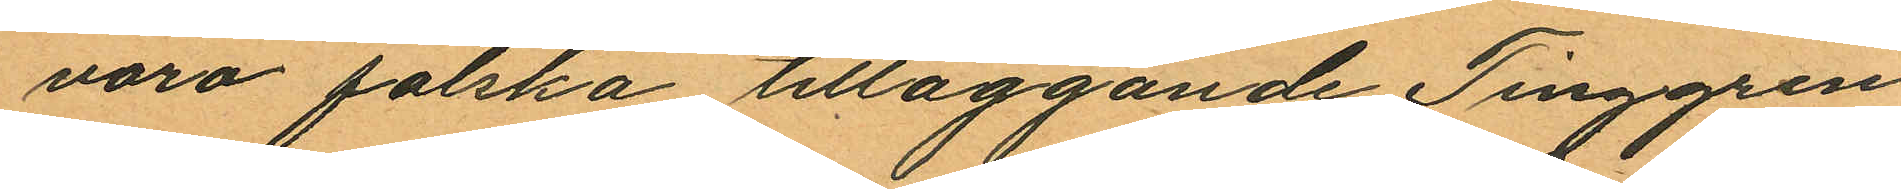varo falska tilläggande Tinggren
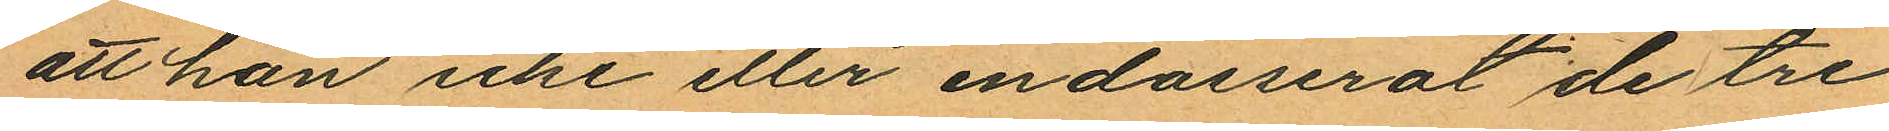att han icke eller endosserat de tre
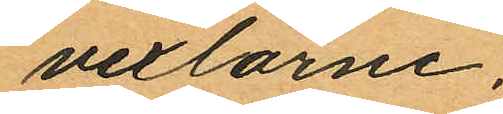vexlarne.
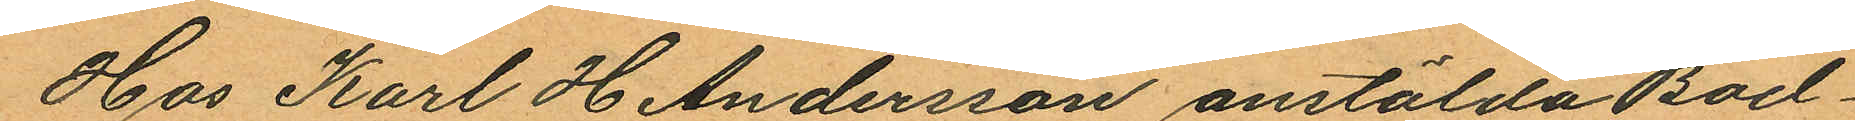Hos Karl H Andersson anstälda Bod¬
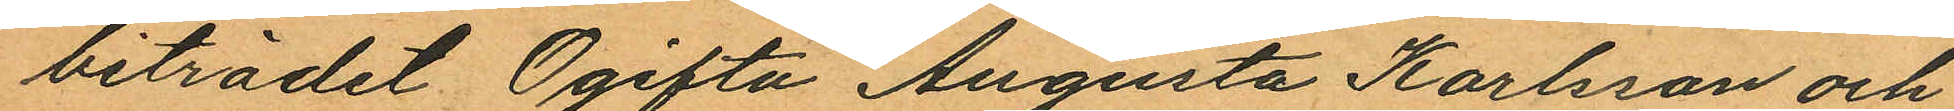biträdet Ogifta Augusta Karlsson och
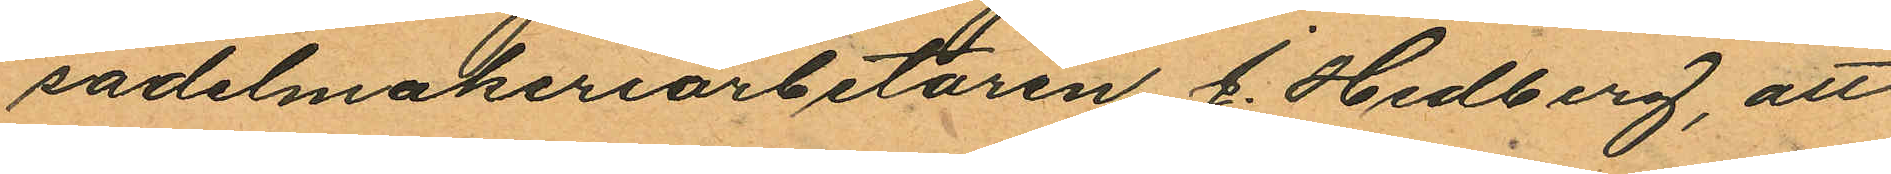sadelmakeriarbetaren J. Hedberg, att
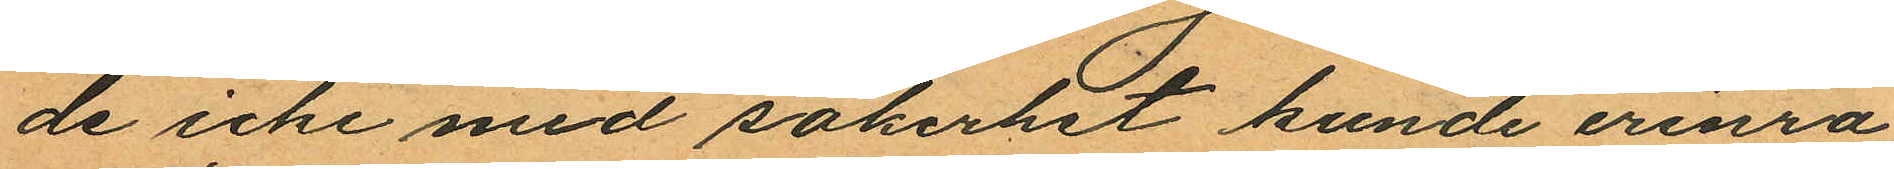de icke med säkerhet kunde erinra
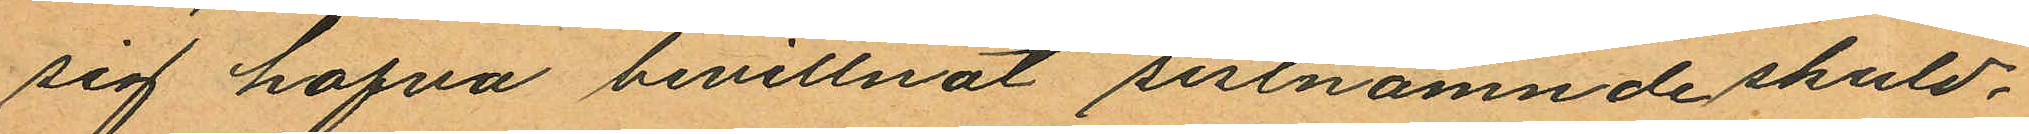sig hafva bevittnat sistnämnde skuld¬
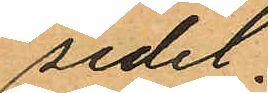sedel.
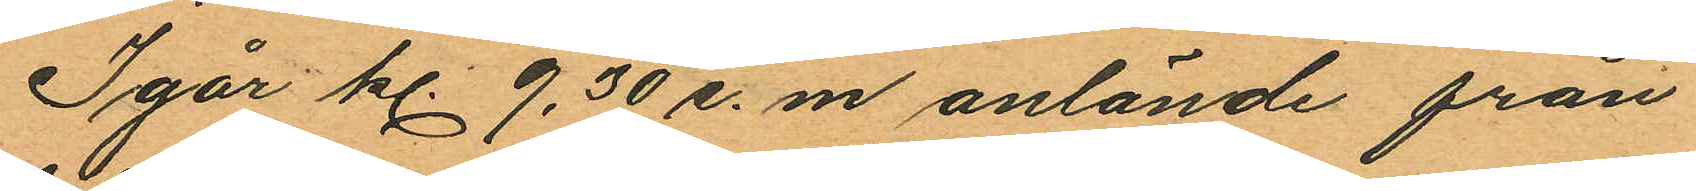Igår kl. 9,30 e. m anlände från
